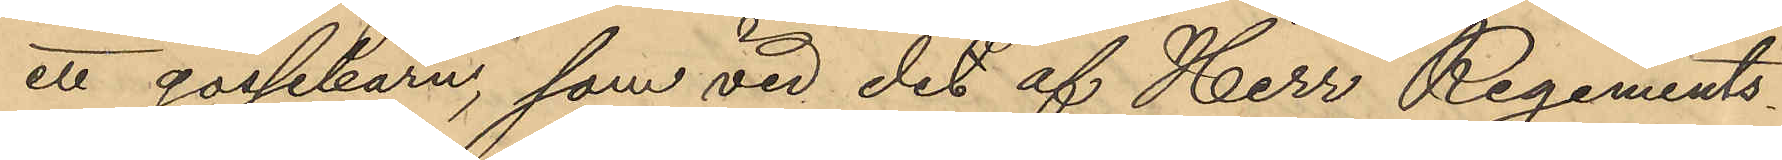ett gossebarn, som vid det af Herr Regements¬
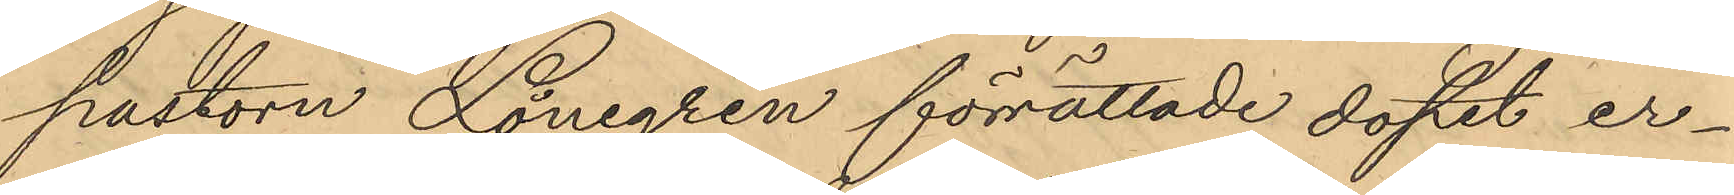pastorn Lönegren förrättade dopet er¬
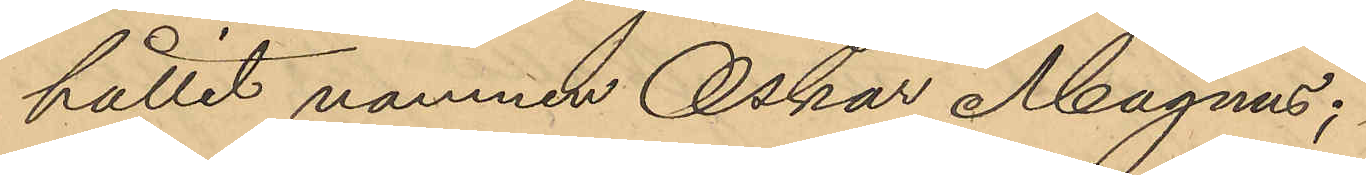hållit namnen Oskar Magnus;
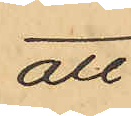att
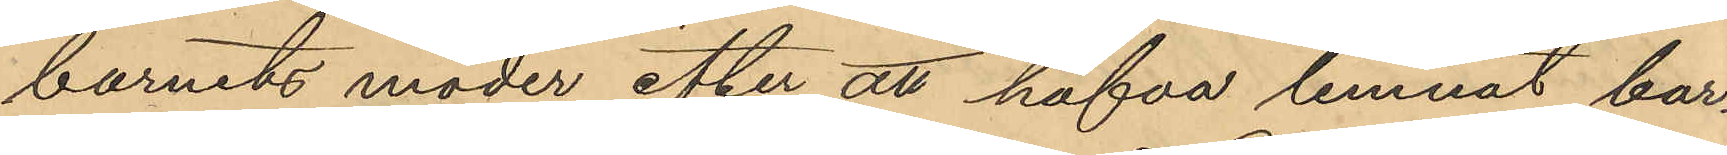barnets moder efter att hafva lemnat bar¬
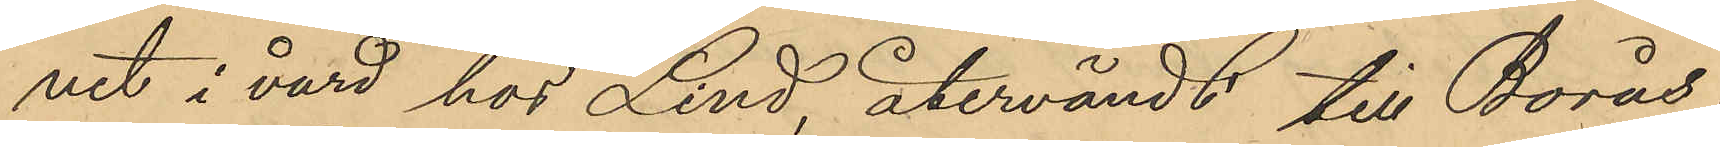net i vård hos Lind, återvändt till Borås;
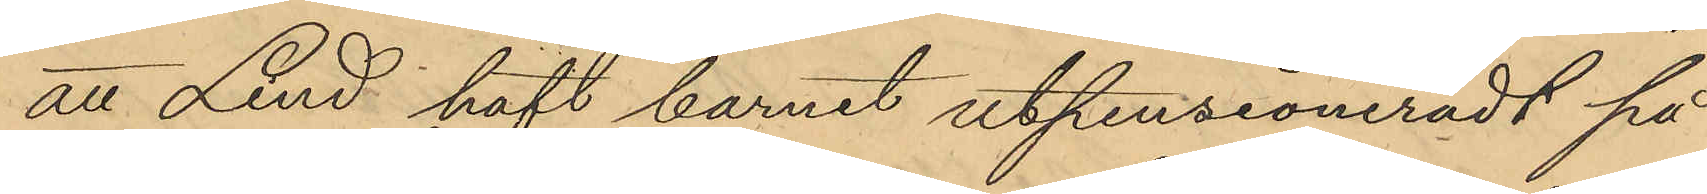att Lind haft barnet utpensioneradt på
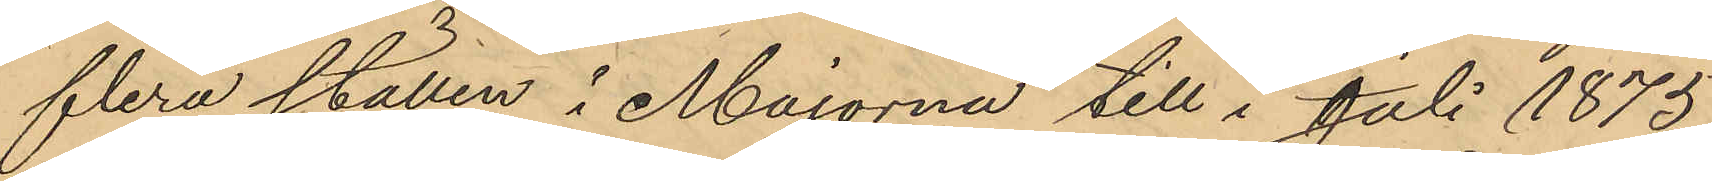flera ställen i Majorna till i Juli 1875
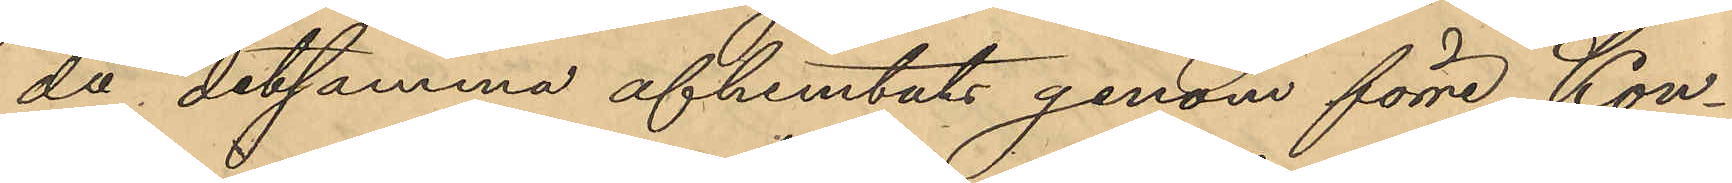då detsamma afhemtats genom förre Kon¬
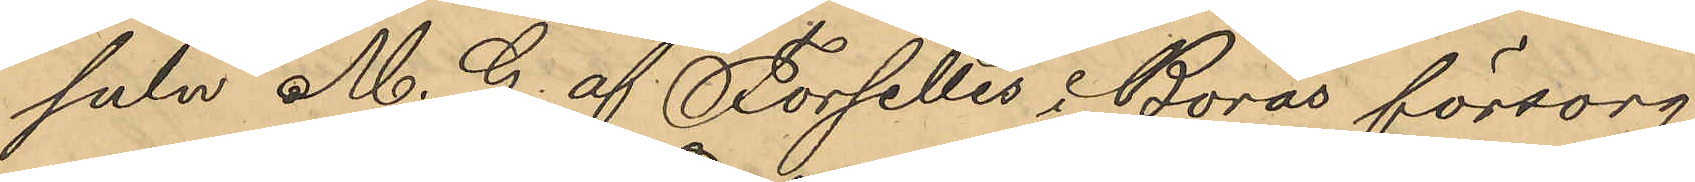suln M. G. af Forselles i Borås försorg
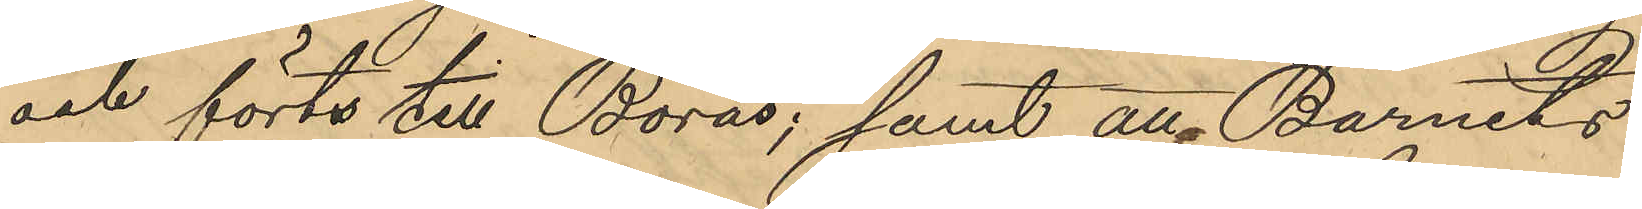och förts till Borås; samt att Barnets
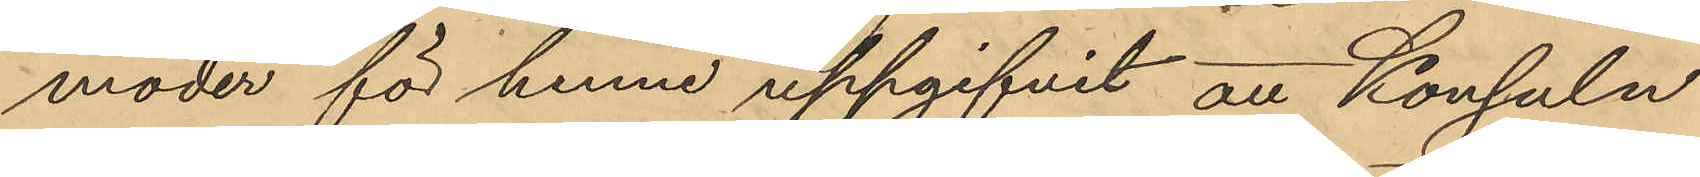moder för henne uppgifvit att Konsuln
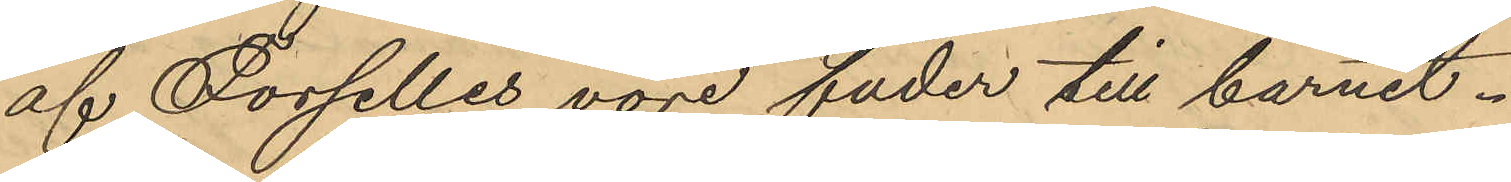af Forselles vore fader till barnet.
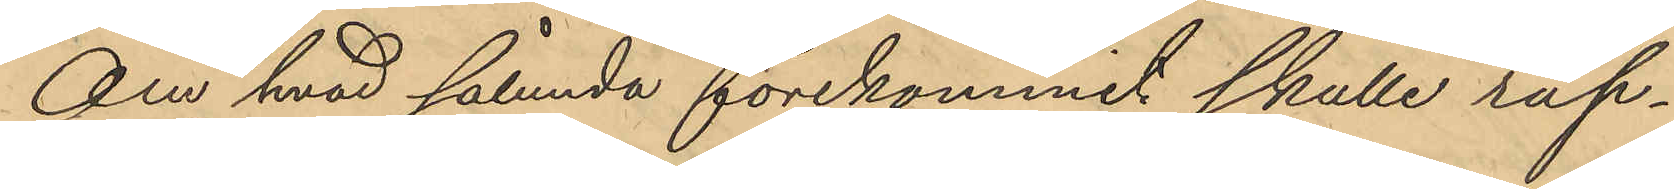Om hvad sålunda förekommit skulle rap¬
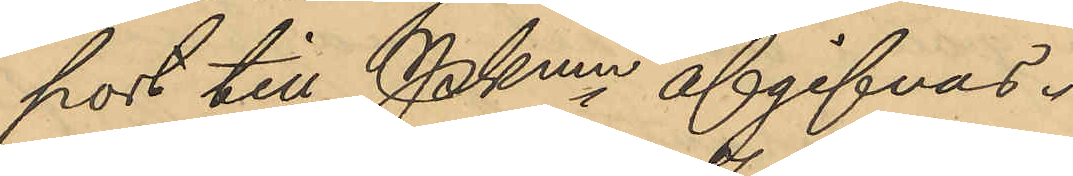port till Pkmn afgifvas.
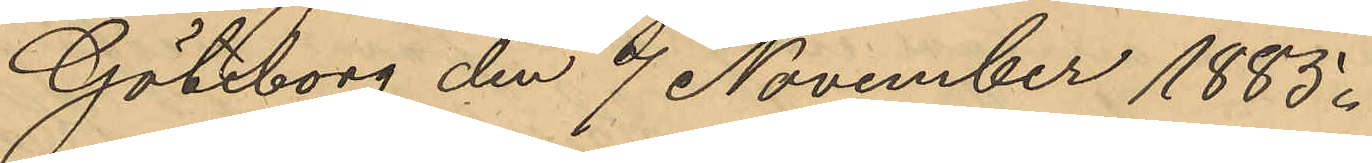Göteborg den 7 November 1885.
